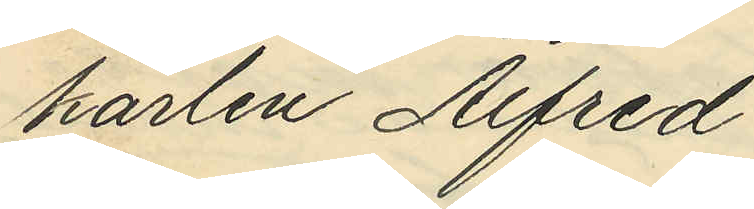karlen Alfred
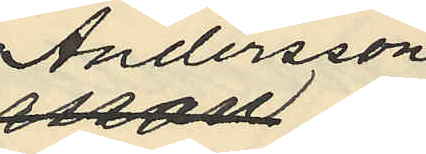Andersson,
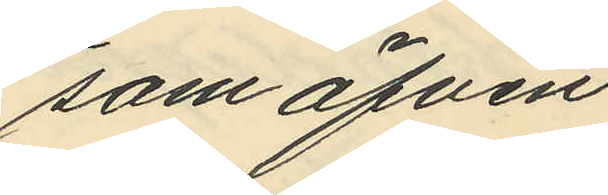som äfven
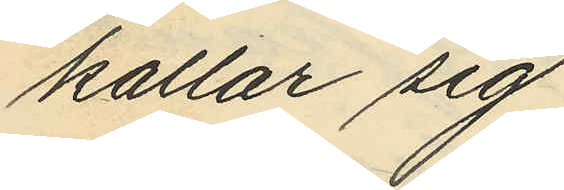kallar sig
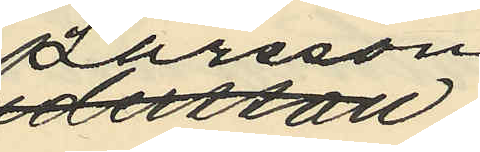Larsson
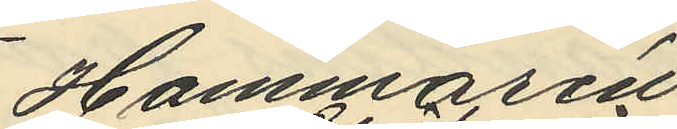Hammarén
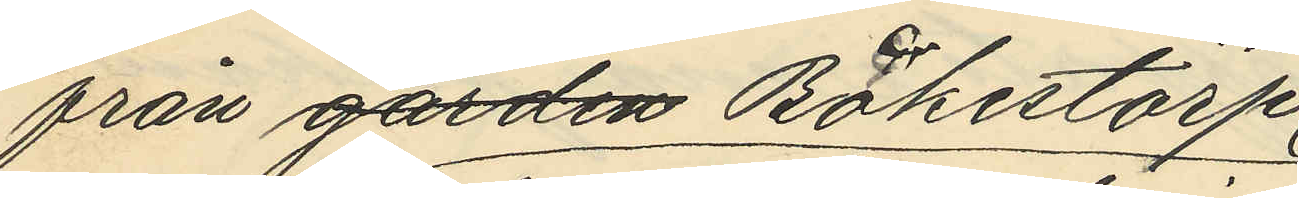från gården Bökestorp,
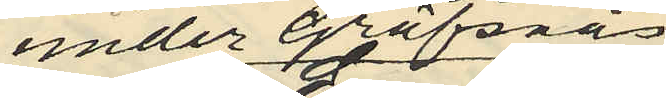under Gräfsnäs
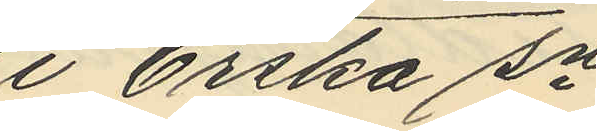i Erstra sn
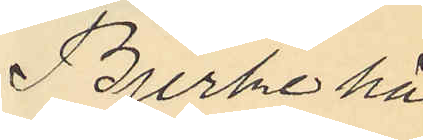Bjerke hä¬
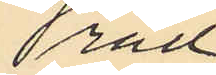rad
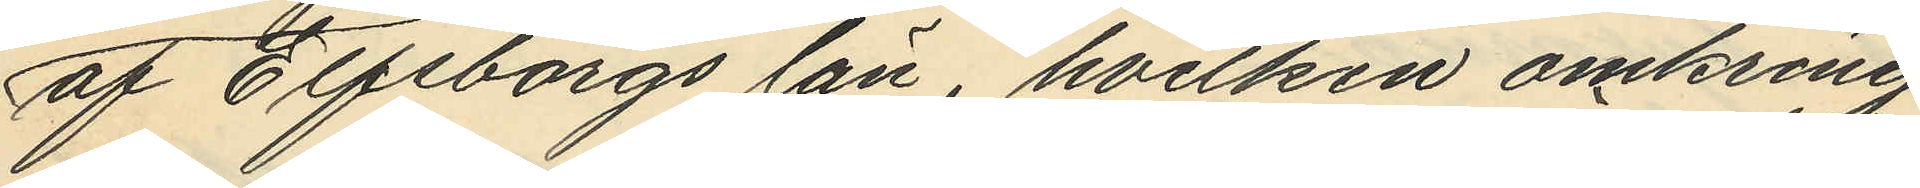af Elfsborgs län, hvilken omkring
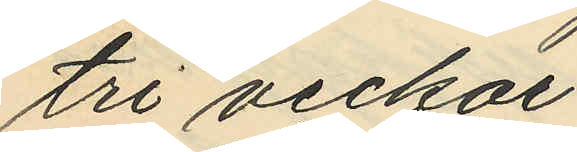tre veckor
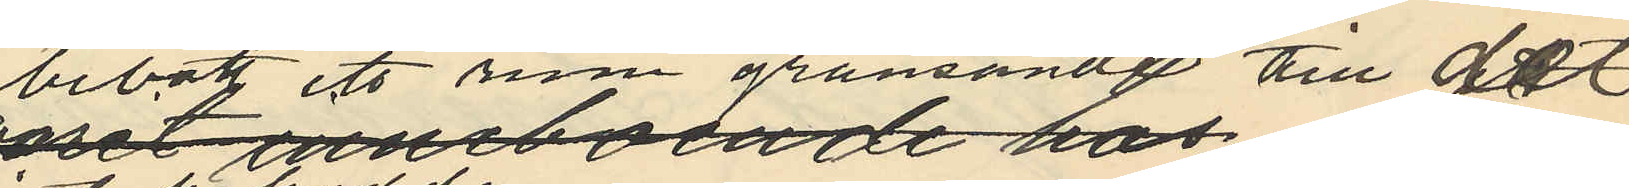bebott ett rum gränsande till det
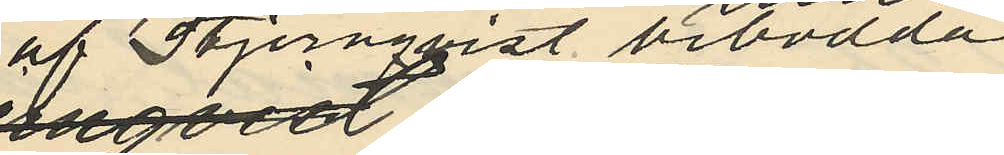af Stjernqvist bebodda
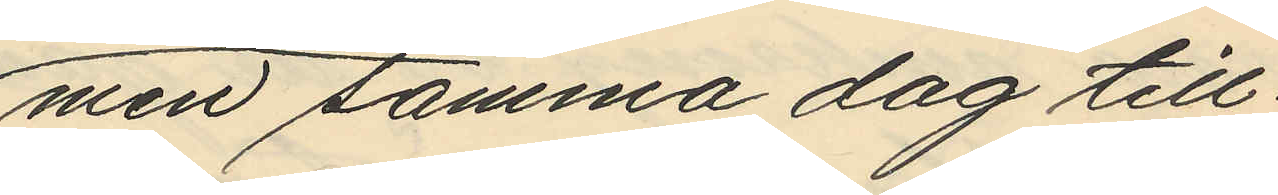men samma dag till¬
